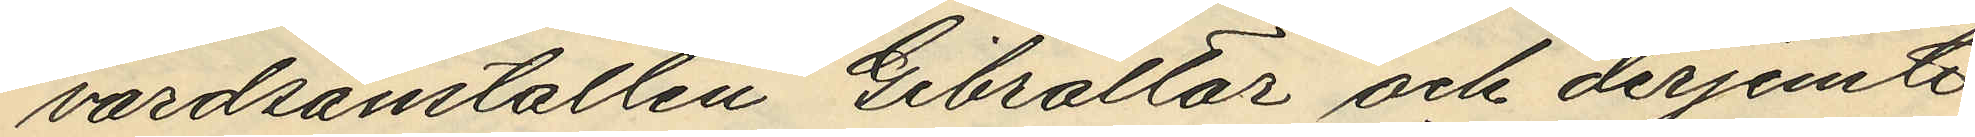vårdsanstallen Gibraltar och derjemte
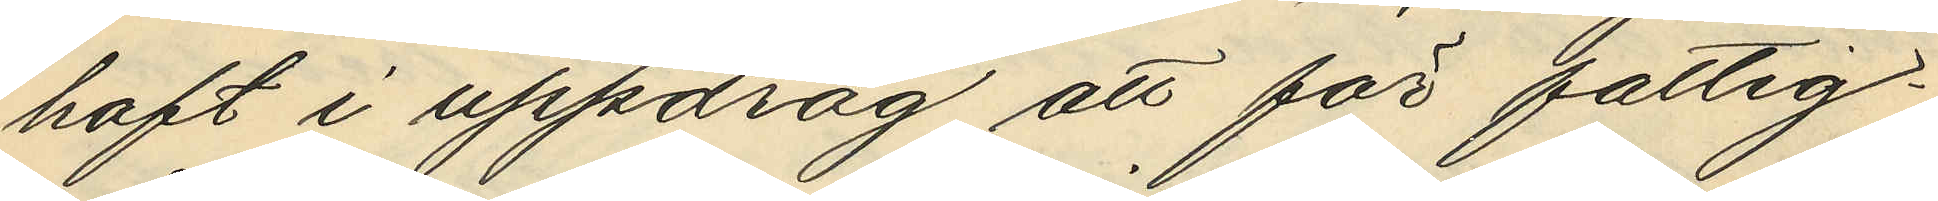haft i uppdrag att för fattig¬
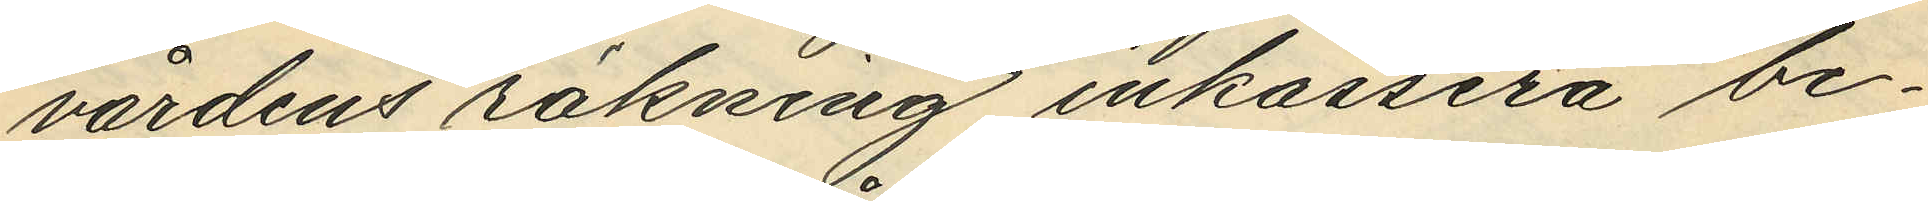värdens räkning inkassera be¬
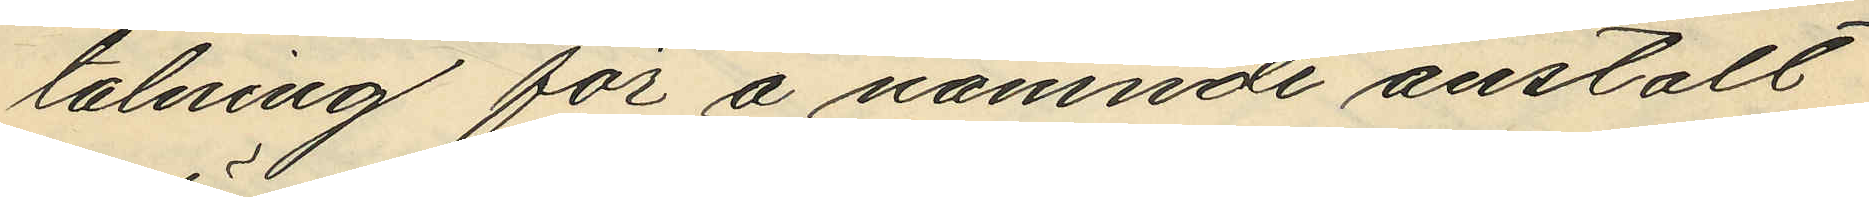talning för å nämnde anstalt
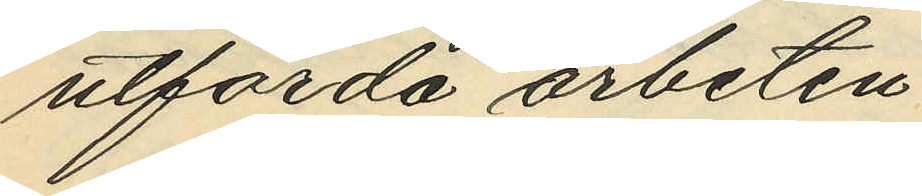utförda arbeten
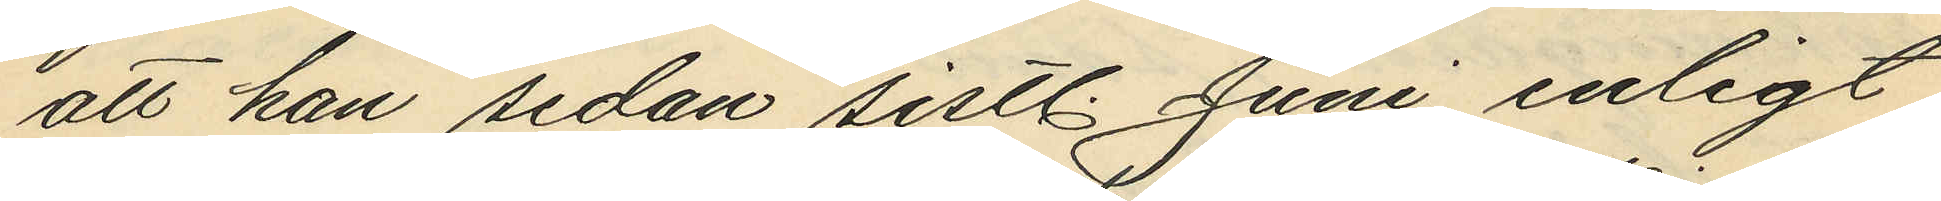att han sedan sistl. Juni enligt
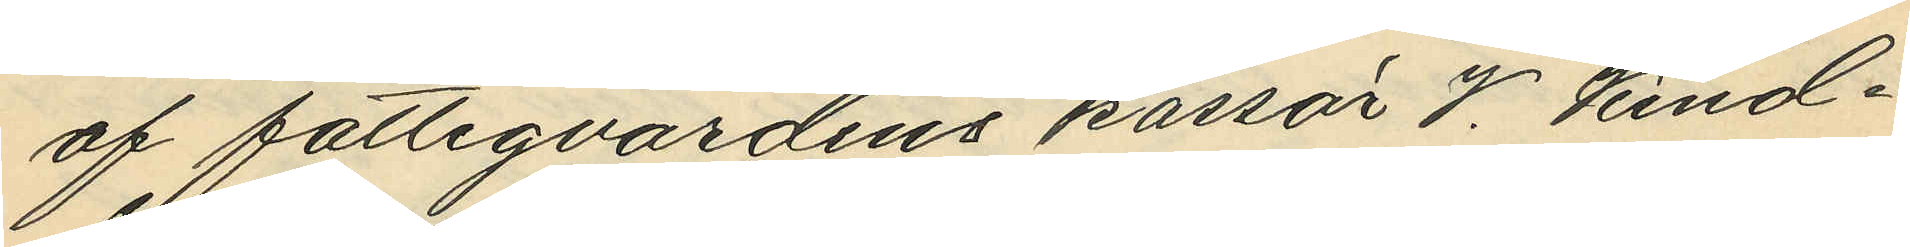af fattigvårdens kassör V. Kind¬
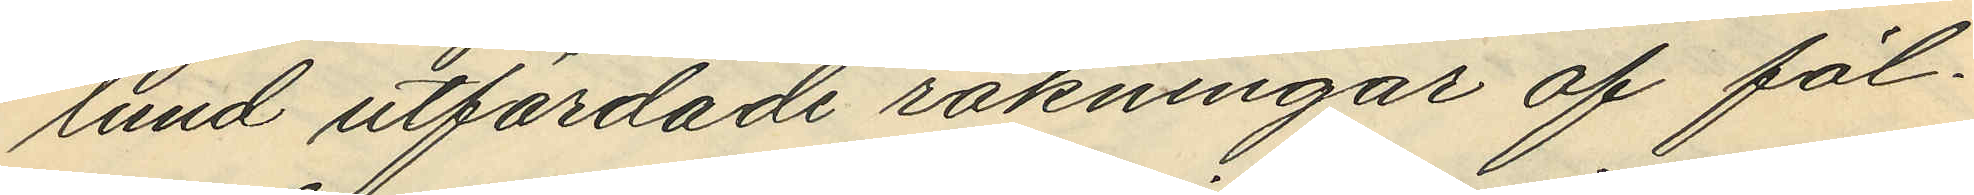lund utfärdade räkningar af föl¬
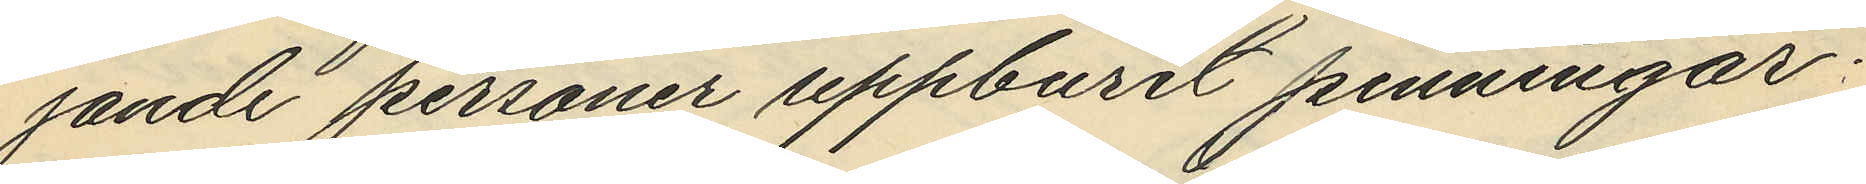jande personer uppburit penningar;
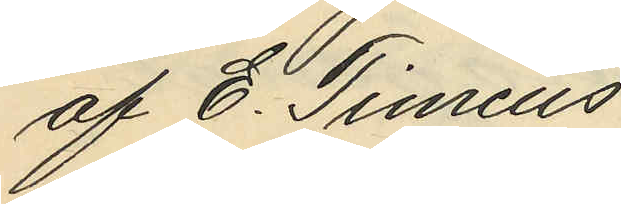af E. Timeus
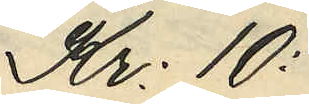Kr: 10:
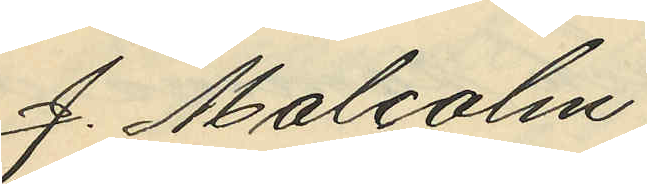J. Malcolm
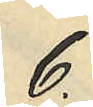6.
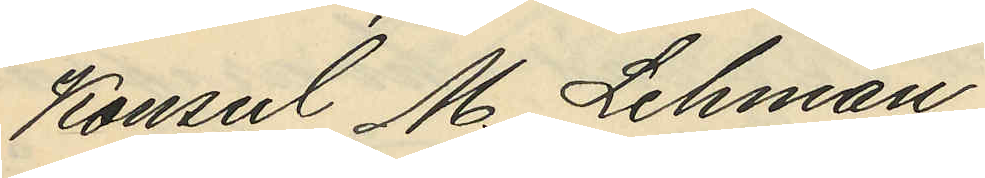Konsul M. Lehman
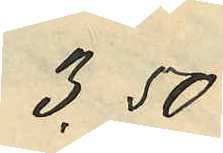3,50
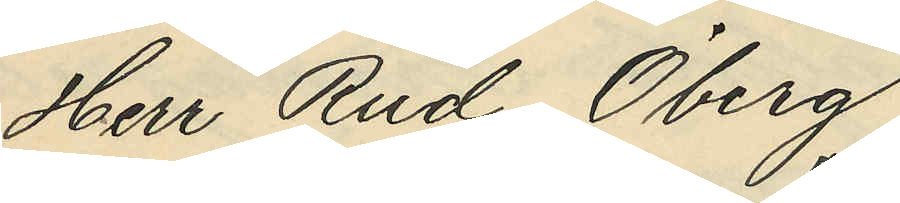Herr Rud. Öberg
